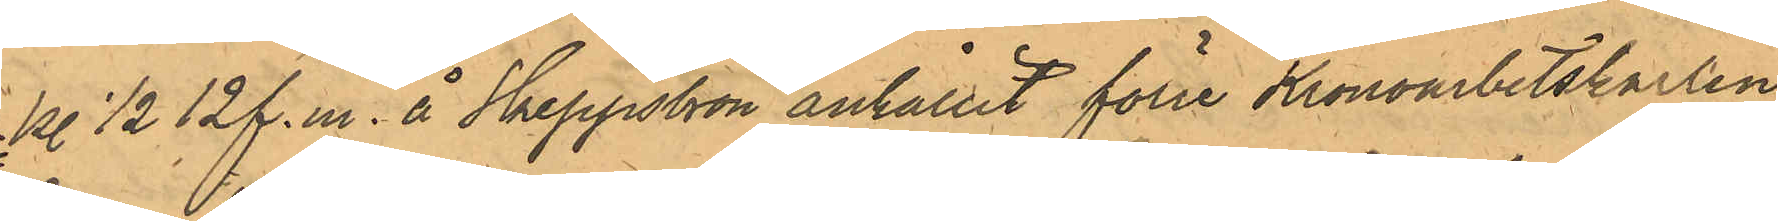kl 1/2 12 f.m. å Skeppsbron anhållit förre Kronoarbetskarlen
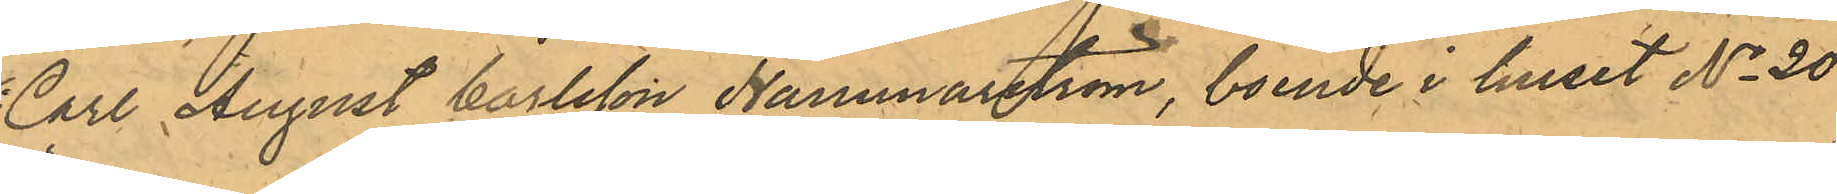Carl August Carlsson Hammarström, boende i huset No 20
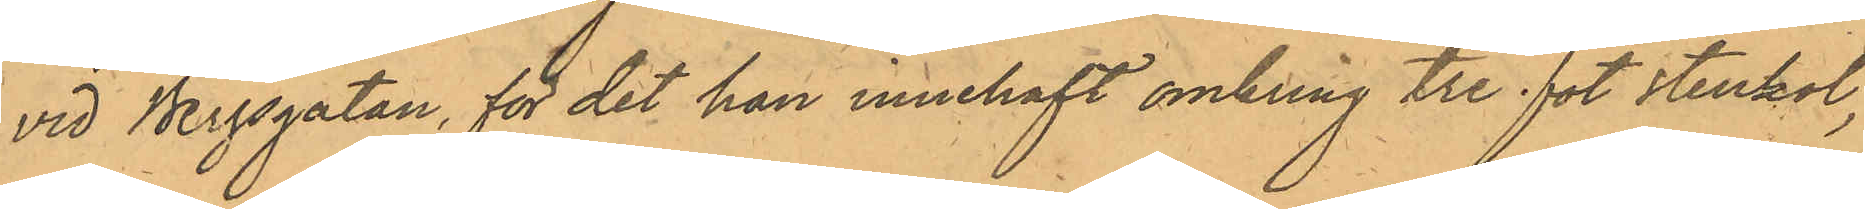vid Bergsgatan, för det han innehaft omkring tre fot stenkol,
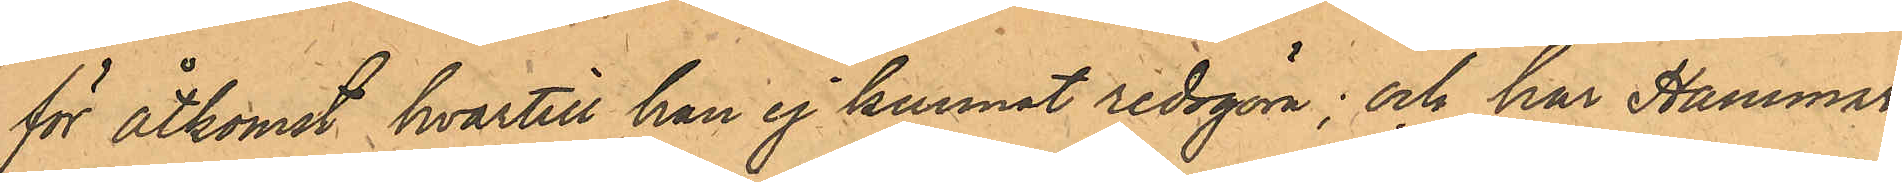för åtkomst hvartill han ej kunnat redogöra; och har Hammar¬
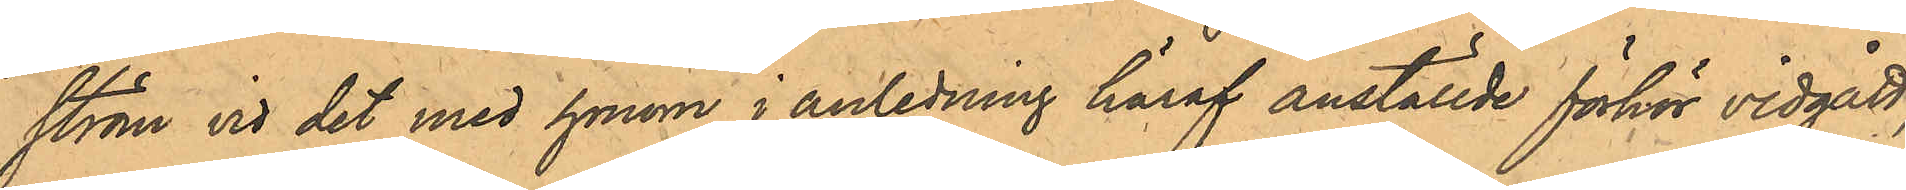ström vid det med honom i anledning häraf anställde förhör vidgått,
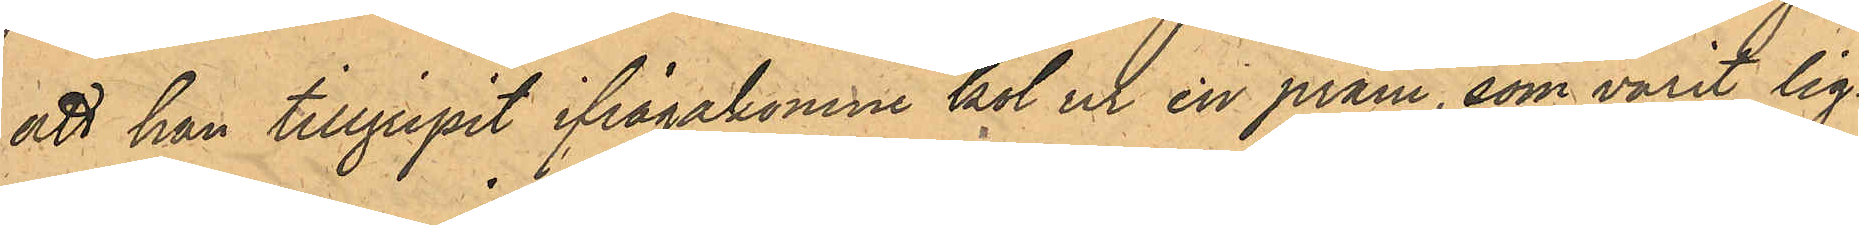att han tillgripit ifrågakomne kol ur en pråm, som varit lig¬
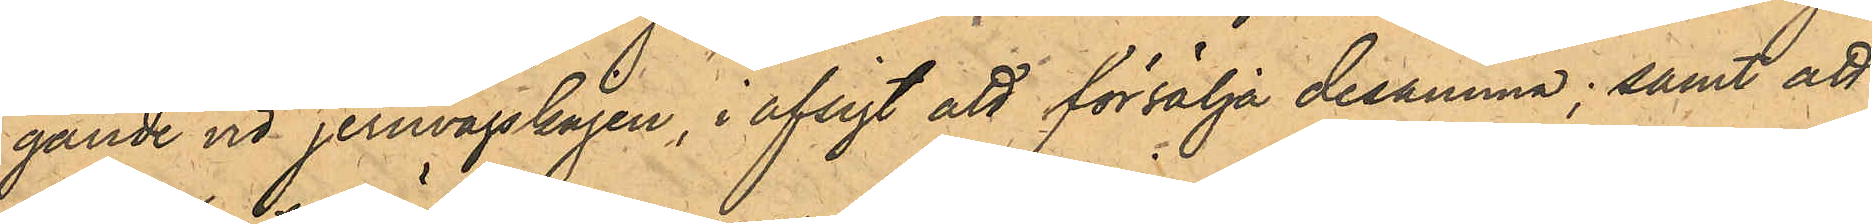gande vid jernvägskajen, i afsigt att försälja desamma; samt att
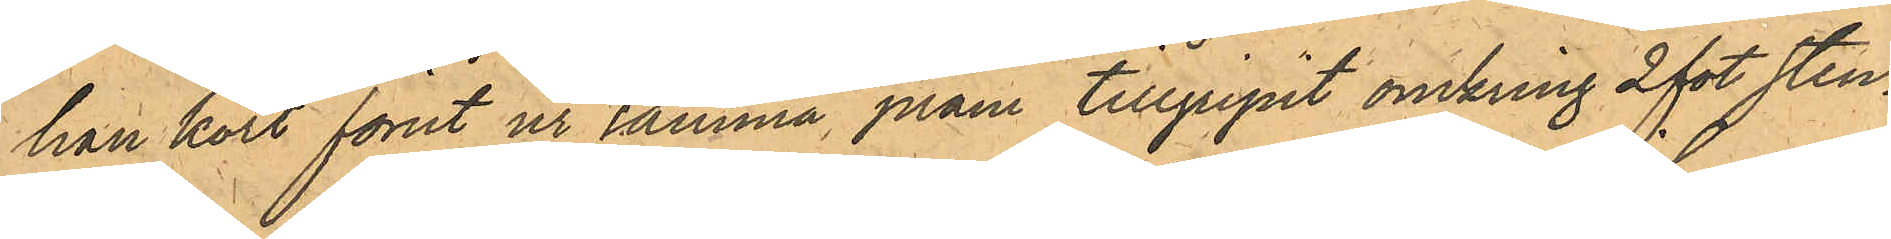han kort förut ur samma pråm tillgripit omkring 2 fot sten¬
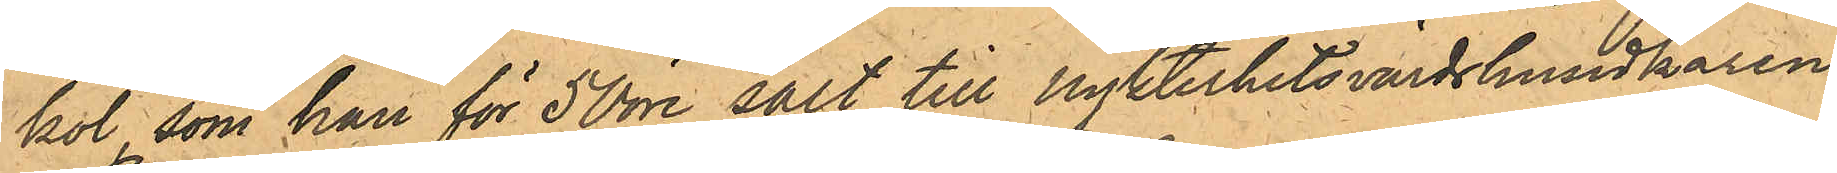kol, som han för 50 öre sålt till Nykterhetsvärdshusidkaren
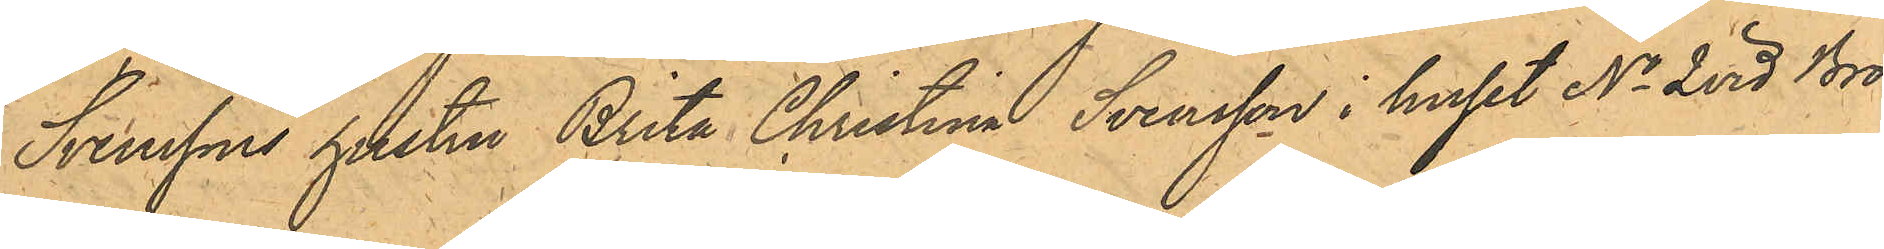Svenssons hustru Brita Christina Svensson i huset No 2 vid Bro¬
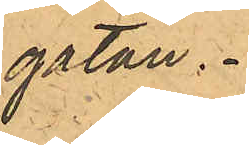gatan.
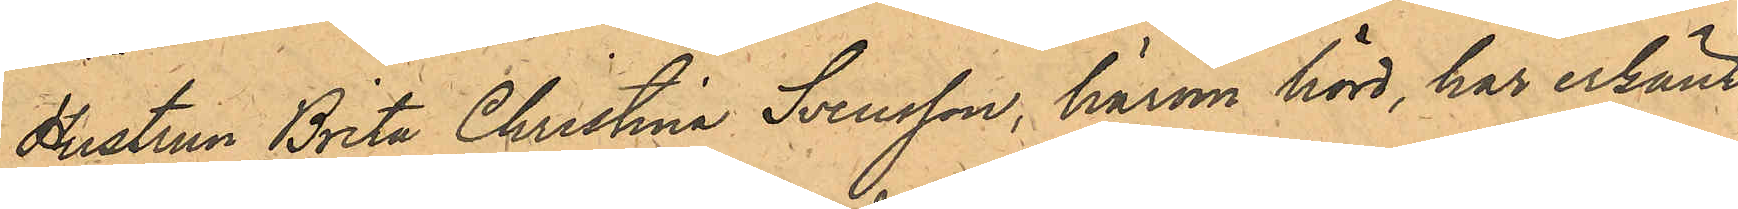Hustrun Brita Christina Svensson, härom hörd, har erkänt,
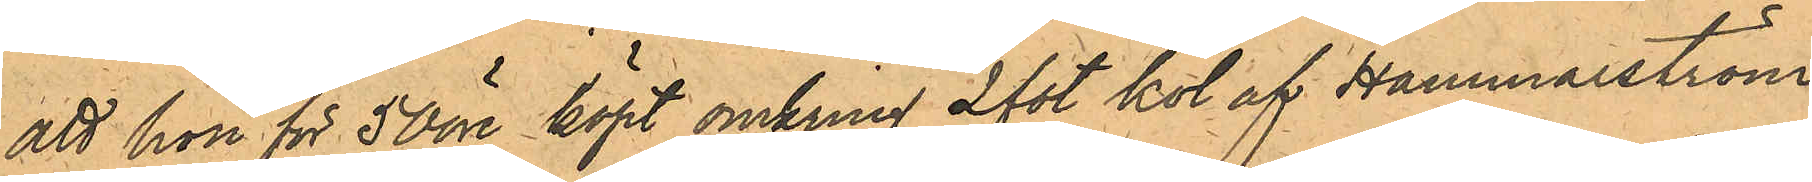att hon för 50 öre köpt omkring 2 fot kol af Hammarström,
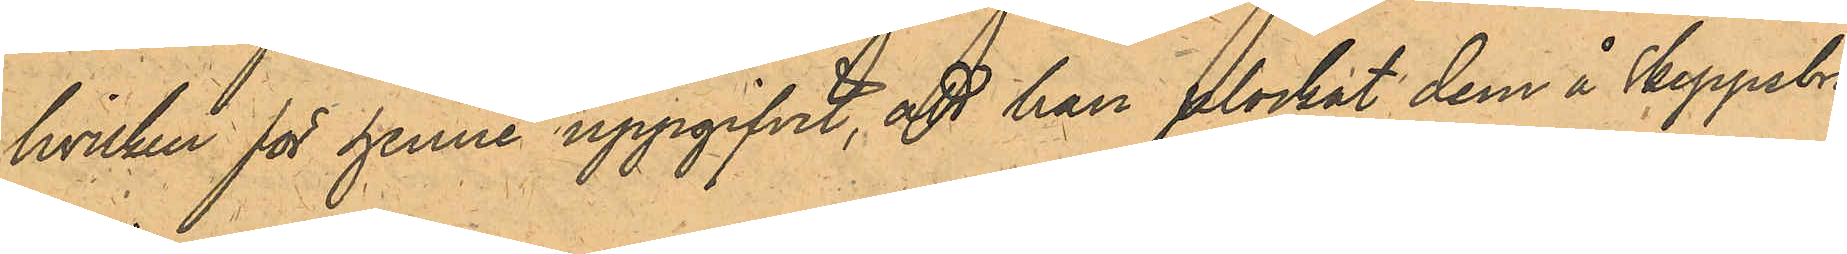hvilken för henne uppgifvit, att han plockat dem å Skeppsbro¬
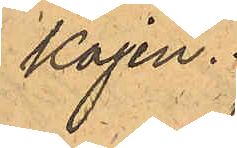kajen.
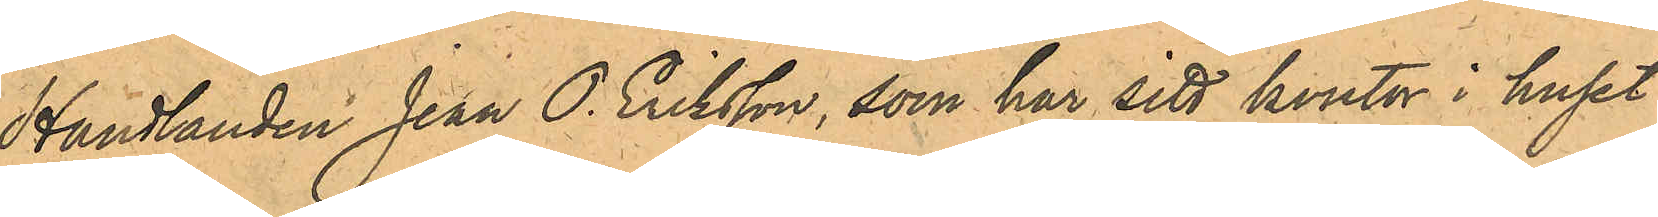Handlanden Jean O. Eriksson, som har sitt kontor i huset
